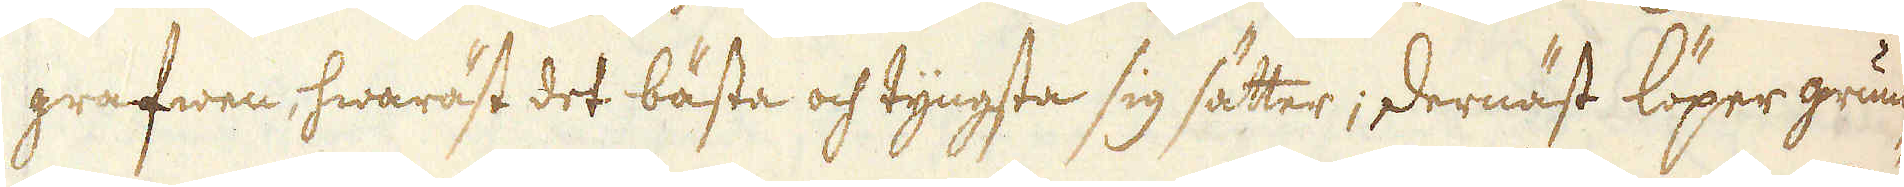grafwen, hwaräst det bästa och tyngsta sig sätter; dernäst löper grum-
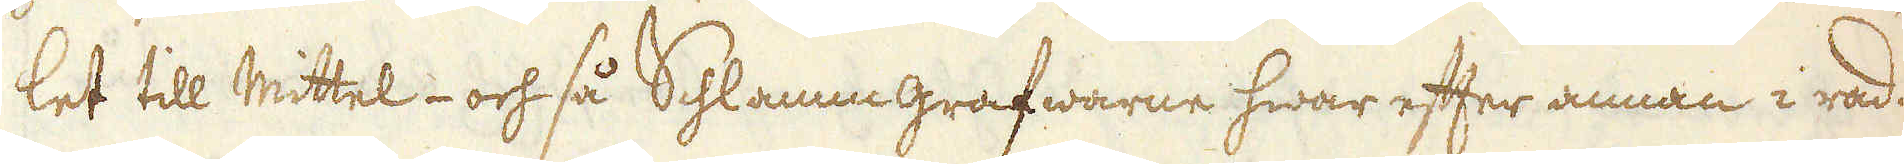let till Mittel- och så Schlammgrafwarne hwar efter annan i rad.
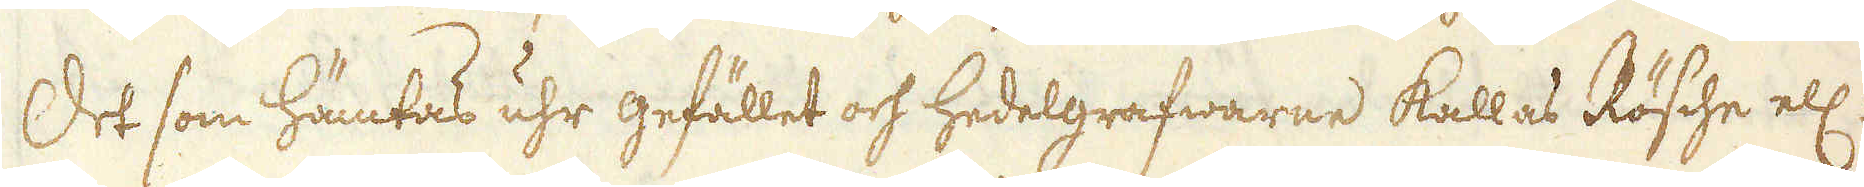Det som hämtas uhr gefället och hedelgrafwarne kallas Rösche ell:
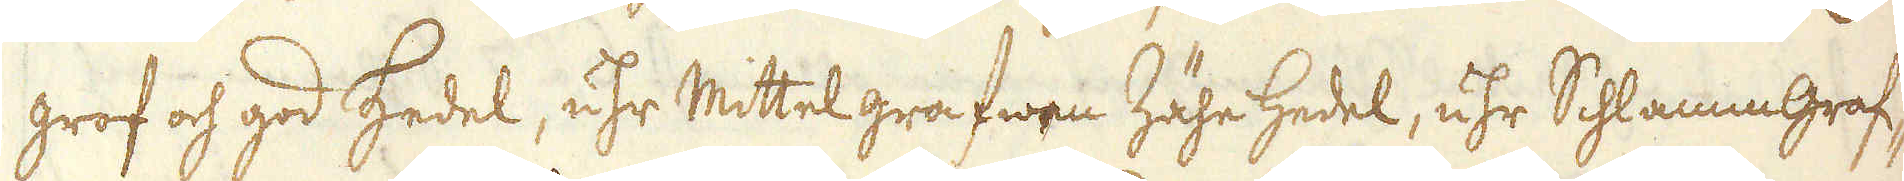grof och god Hedel, uhr Mittel grafwen Zähe Hedel, uhr Schlammgraf-
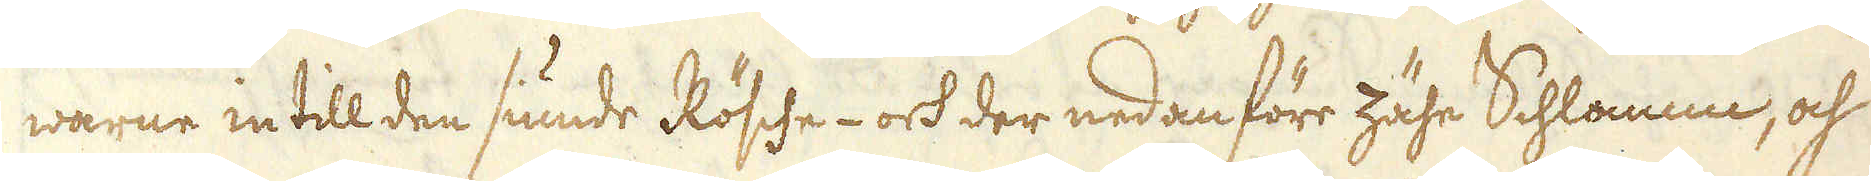warne intill den siunde Rösche- ock der nedan före zähe Schlamm, och
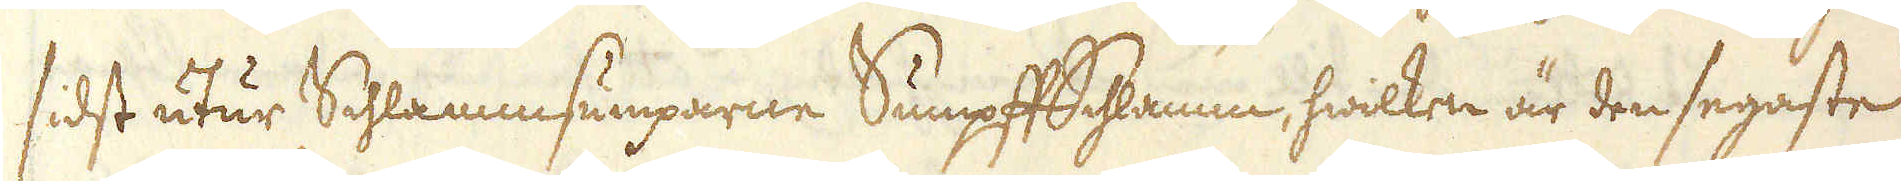sidst utur Schlammsumparne Sumpff Schlamm, hwilken är den segaste
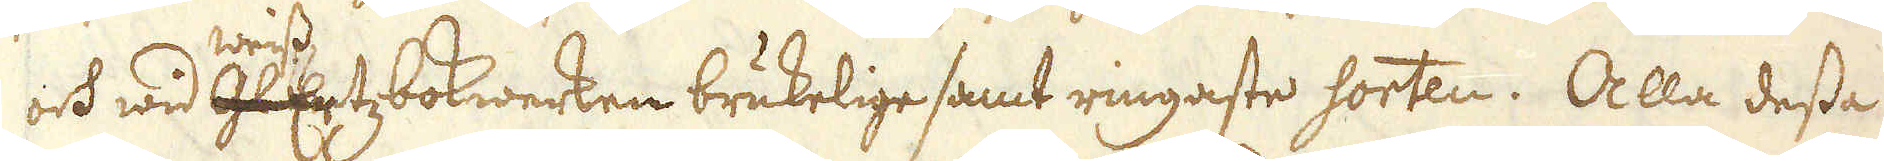och wid glantz weissErtz bokwerken brukelige samt ringaste sorten. Alla dessa
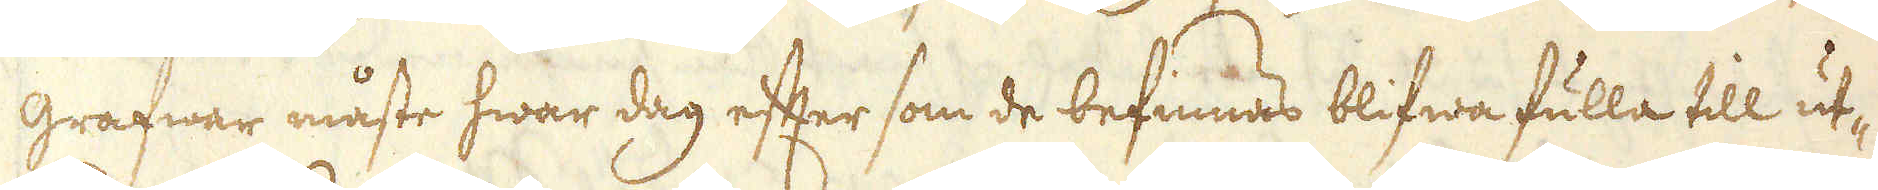grafwar måste hwar dag efter som de befinnas blifwa fulla till ut-
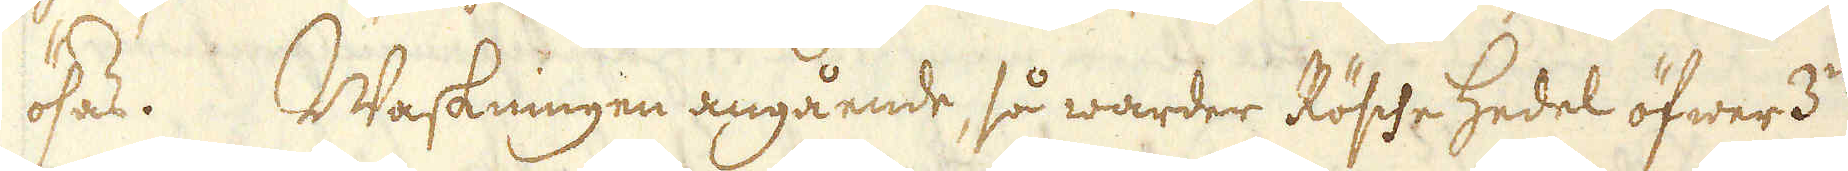ösas. Waskningen angående, så warder Rösche Hedel öfwer 3:ne
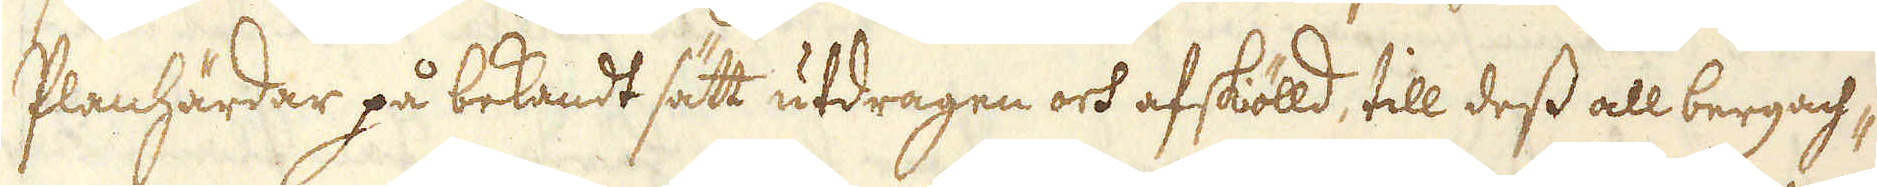Planhärdar på bekandt sätt utdragen och afskiöld, till dess all bergach-
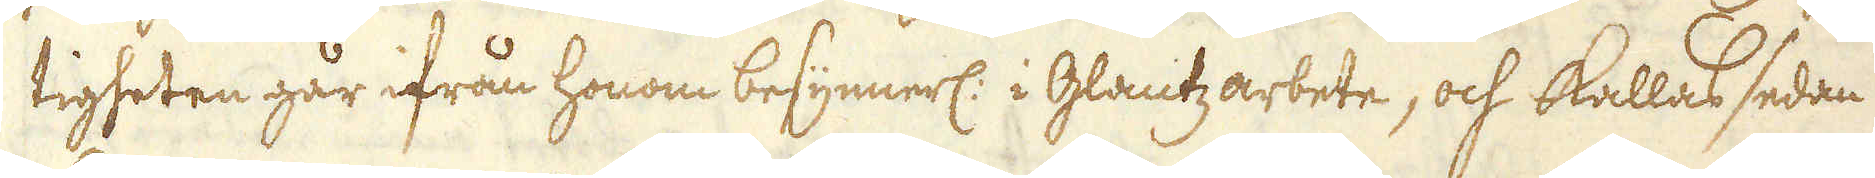tigheten går ifrån honom besynnerl: i Glantz arbete, och kallas sedan
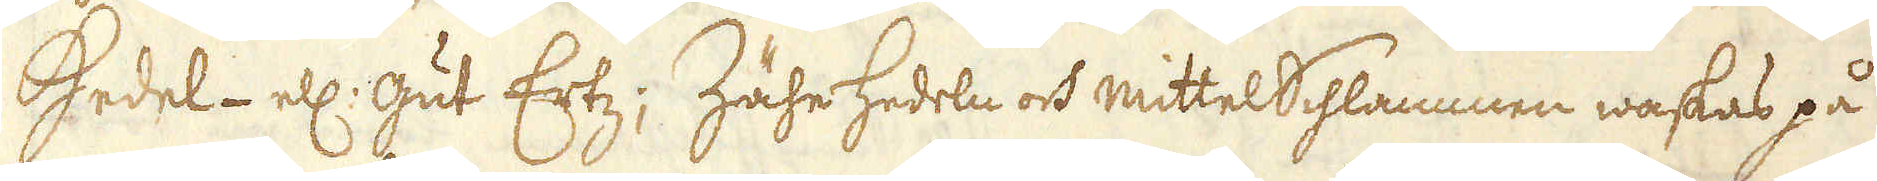Hedel- ell: gut Ertz; ZäheHedeln och mittelSchlammen waskas på
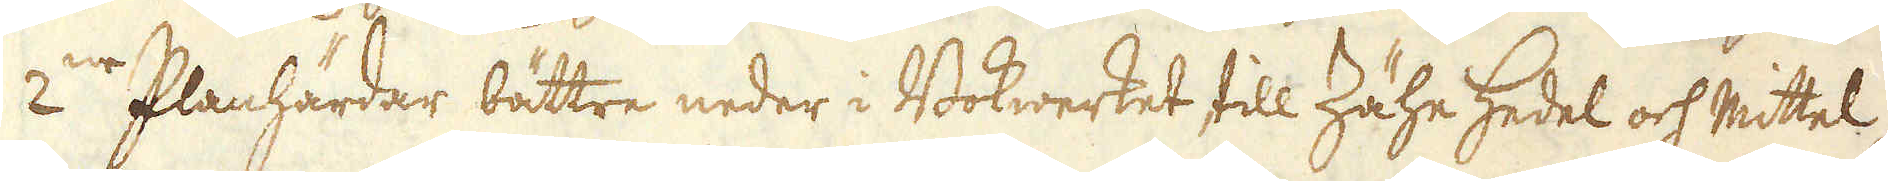2:ne Planhärdar bättre neder i Bokwerket till Zähe Hedel och Mittel-
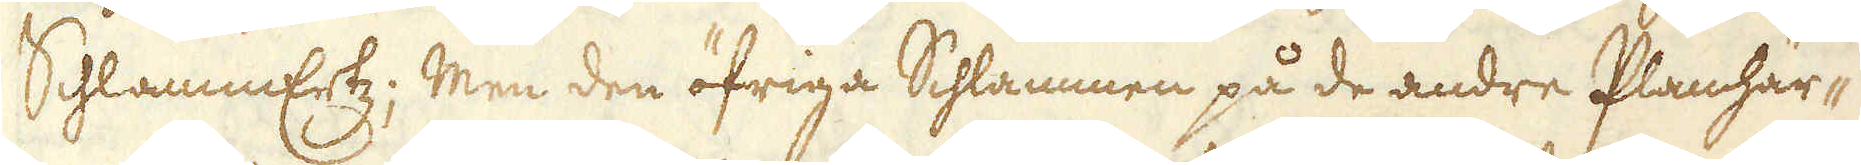SchlammErtz; Men den öfriga Schlammen på de andre Planhär-
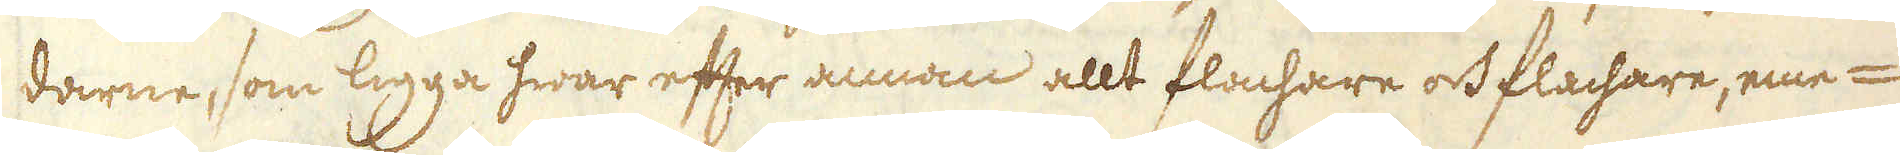darne, som ligga hwar efter annan allt flachare och flachare, eme-
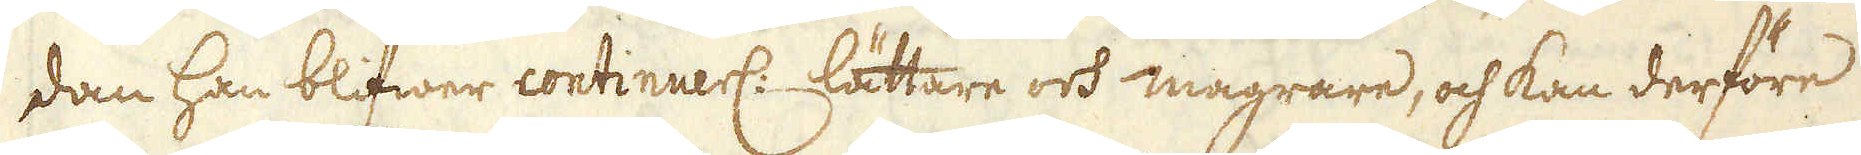dan han blifwer continuerl: lättare och magrare, och kan derföre
